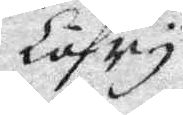Löfry
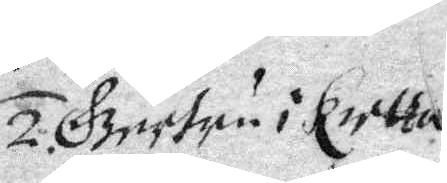2. Gretun i Kritta¬
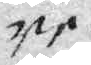ne
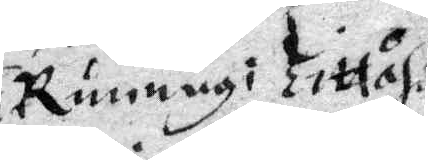3. Runnug i Tittåhs
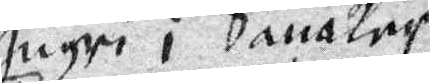4. Ingri i Sanåker
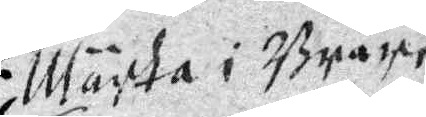5. Märta i Bråre
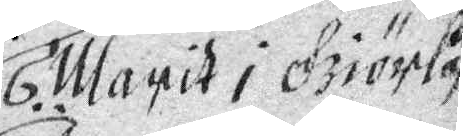6. Margit i Giörlåf
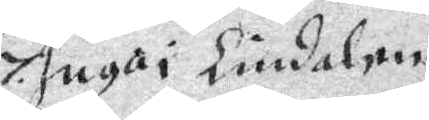7. Inga i Lindalen
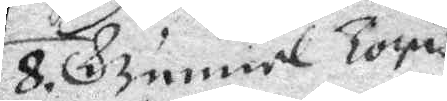8. Gunnel Topis¬
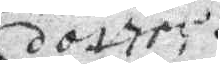dotter.
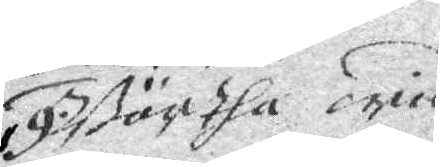9. Börtha oried¬
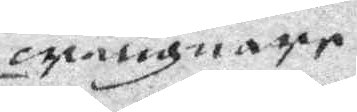cipmagnapr
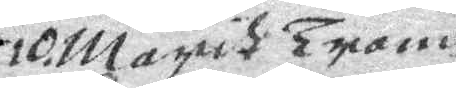10. Margih Tromh
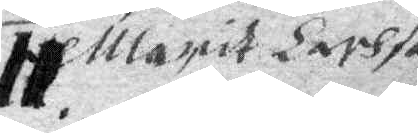11. Margit Larhsa
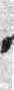hans möthen, emottagitt dieflat till sine
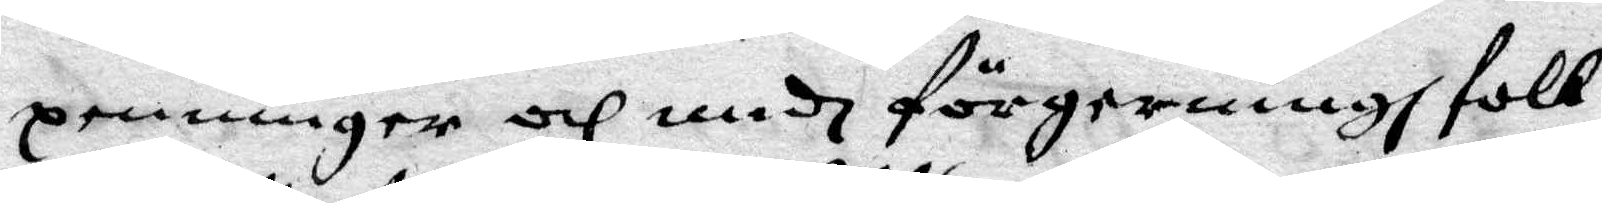penningar och medh förgerningh folk
